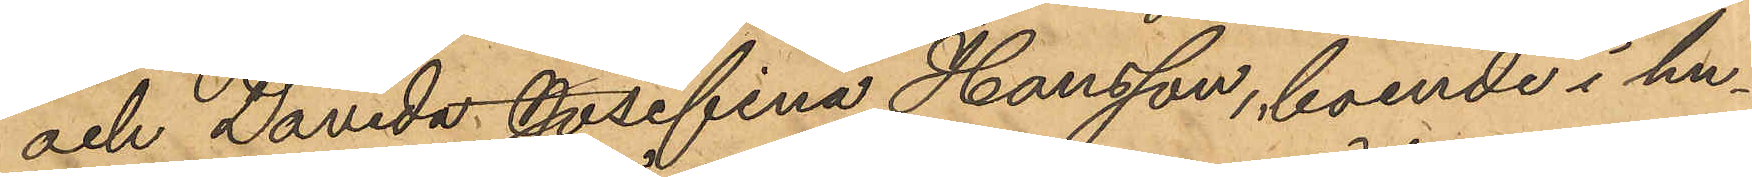och Davida Josefina Hansson, boende i hu¬
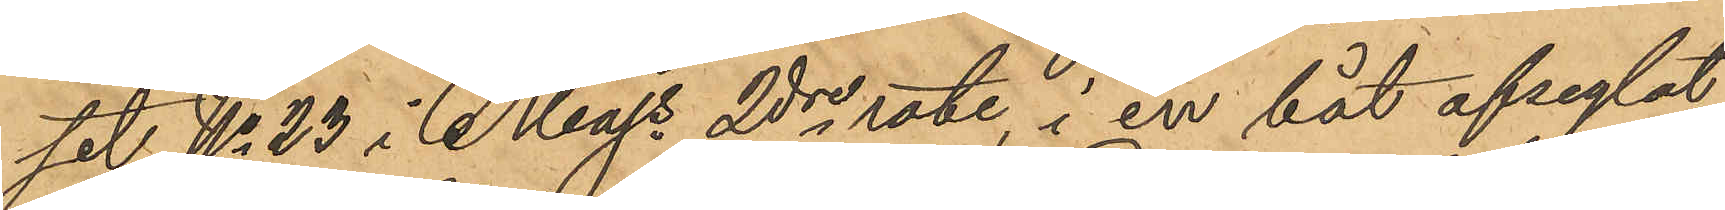set No 23 i Majs 2dre rote, i en båt afseglat
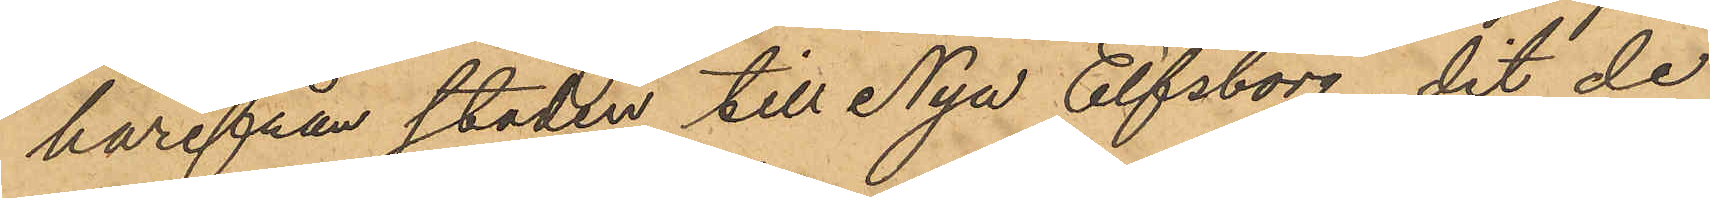härifrån staden till Nya Elfsborg, dit de
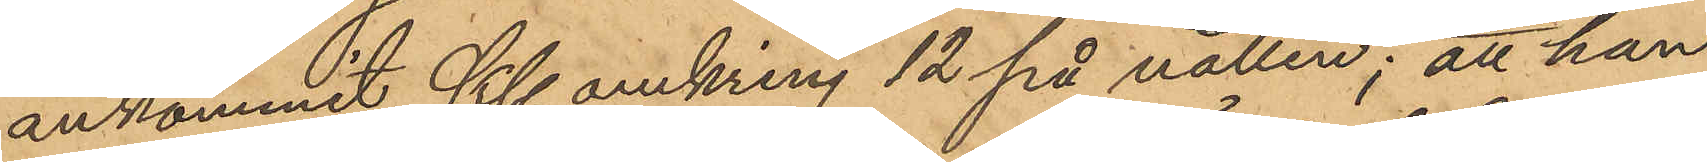ankommit Kl. omkring 12 på natten; att han
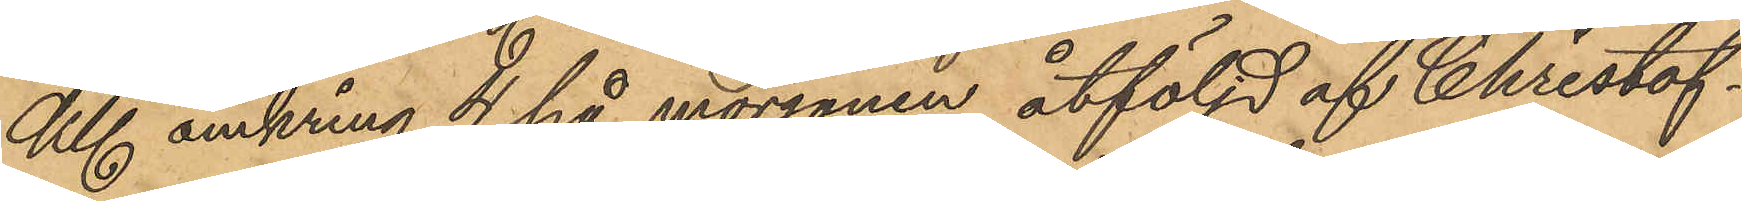Kl. omkring 4 på morgonen åtföljd af Christof¬
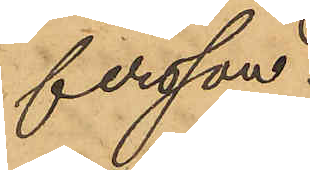fersson
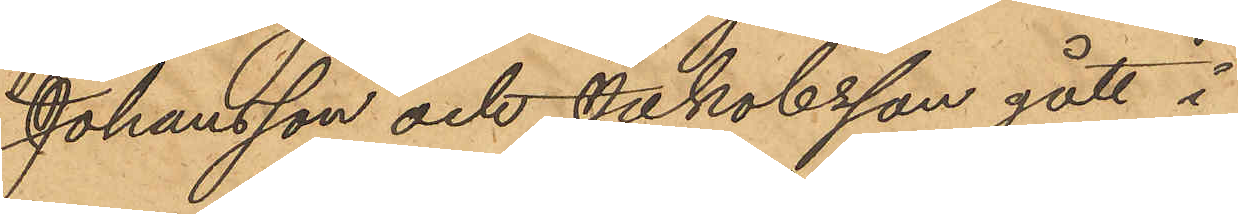Johansson och Jakobsson gått i
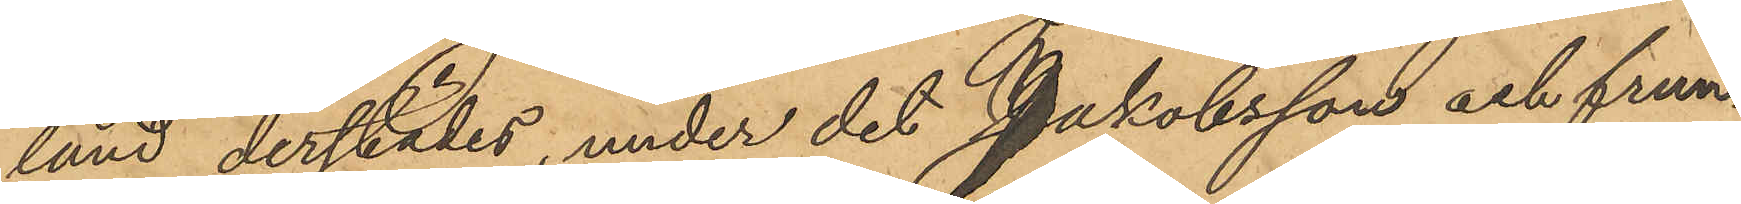land derstädes, under det Jakobsson och frun¬
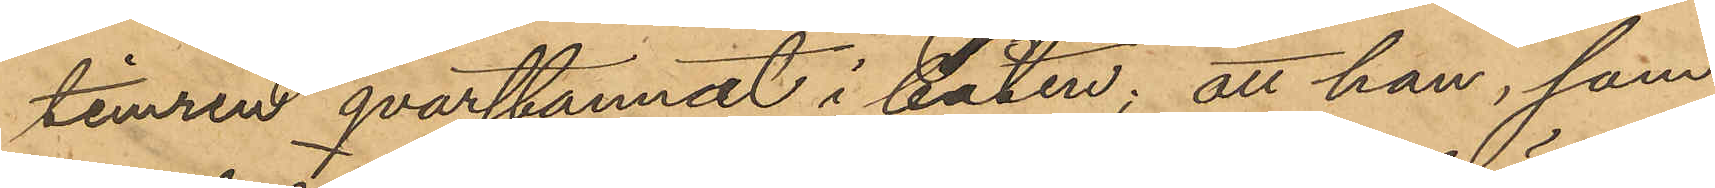timren qvarstannat i båten; att han, som
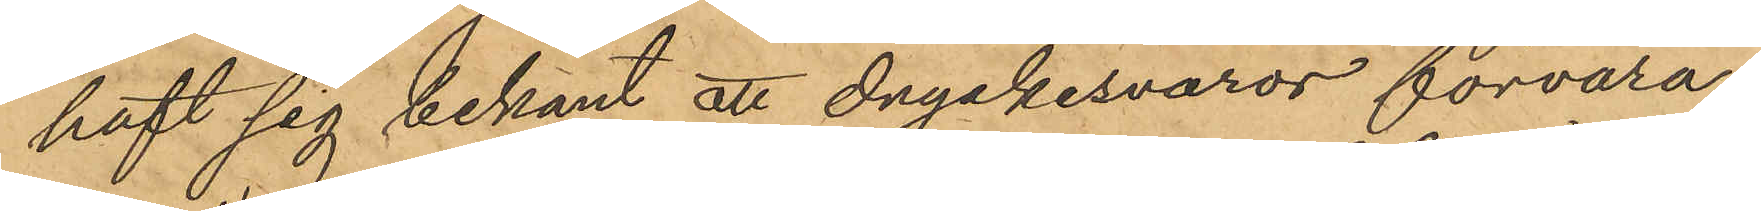haft sig bekant att dryckesvaror förvara¬
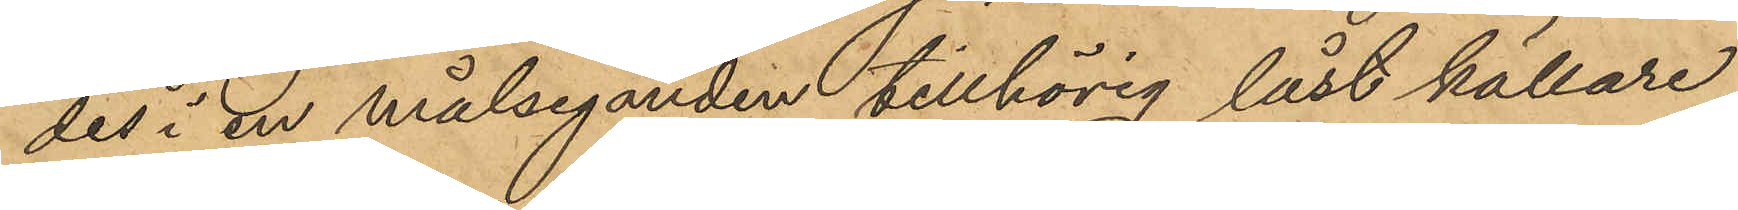des i en målseganden tillhörig låst källare,
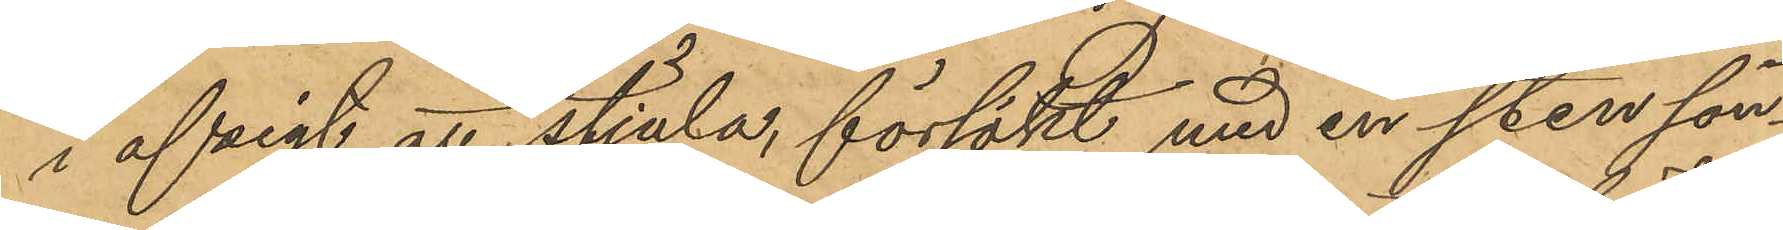i afsigt att stjäla, försökt med en sten sön¬
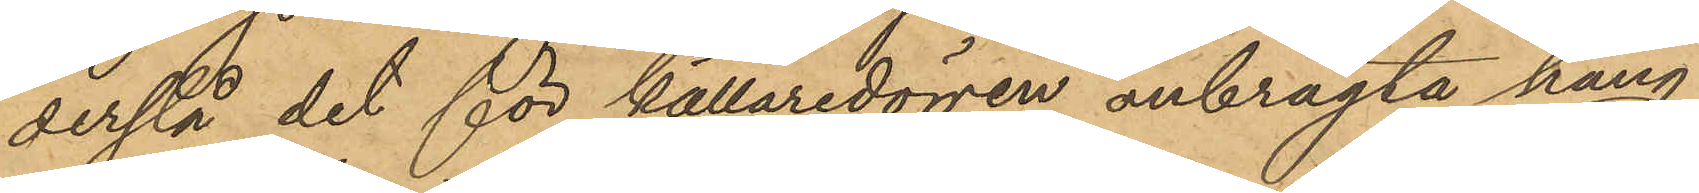derslå det för källaredörren anbragta häng¬
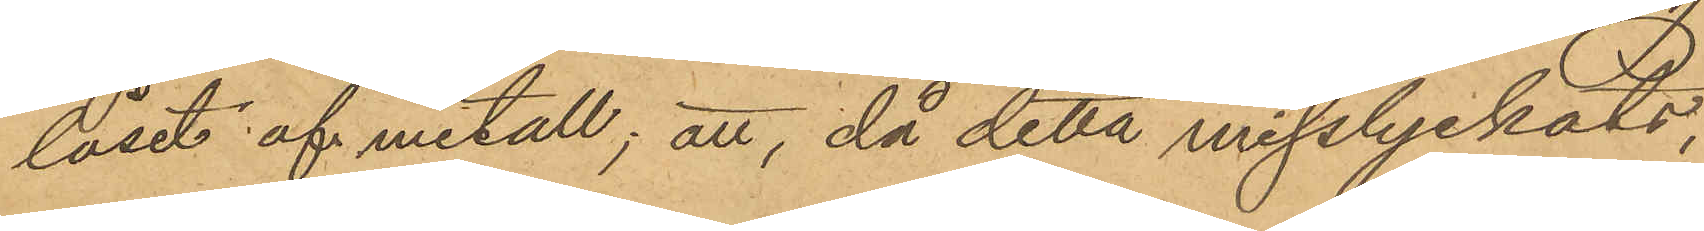låset af metall; att, då detta misslyckats,
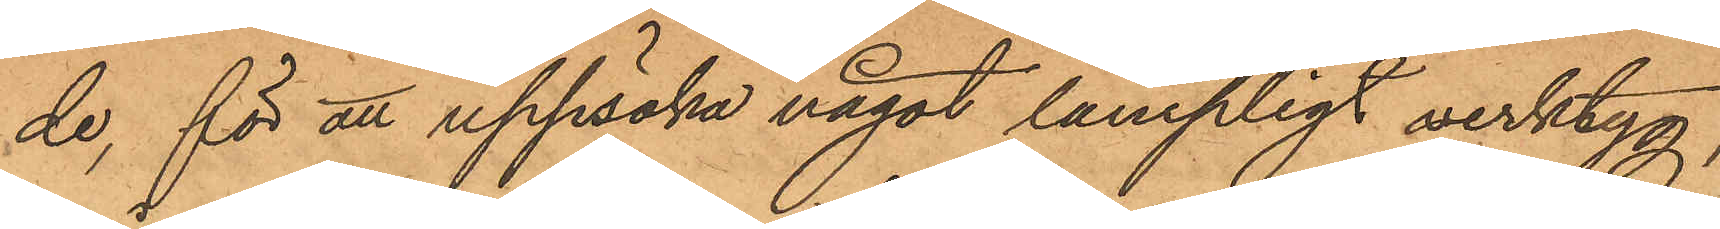de, för att uppsöka något lämpligt verktyg,
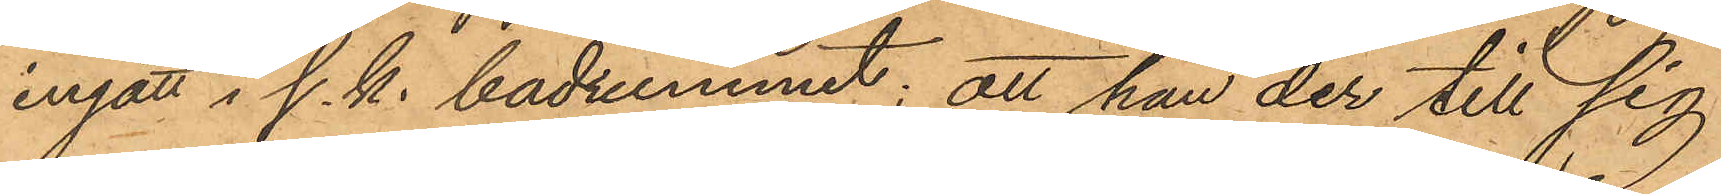ingått i s. k. badrummet; att han der till sig
